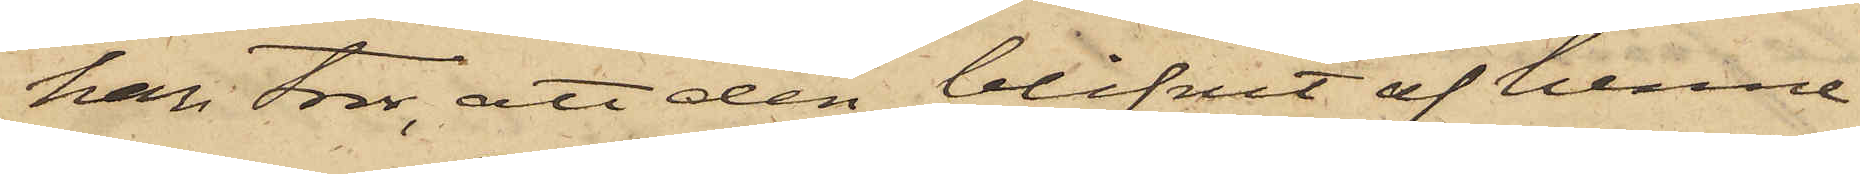han tror, att den blifvit af henne
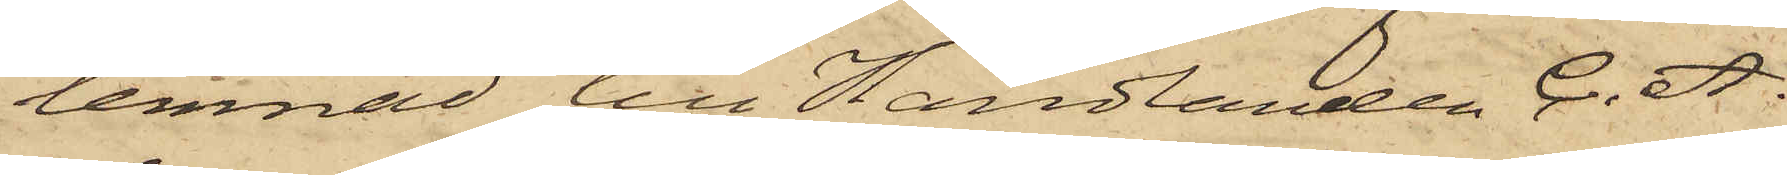lemnad till Handlanden C. A.
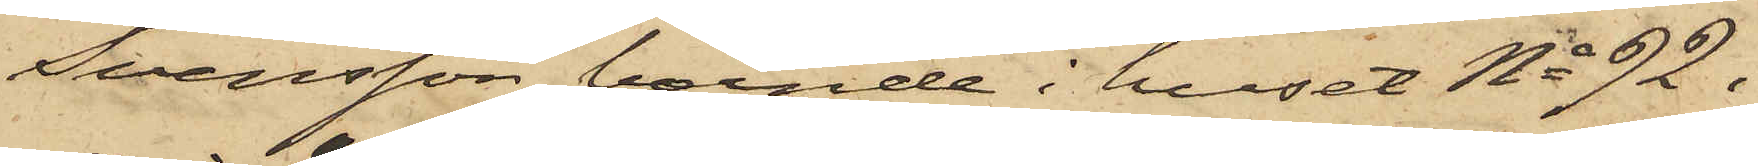Svensson, boende i huset No 92 i
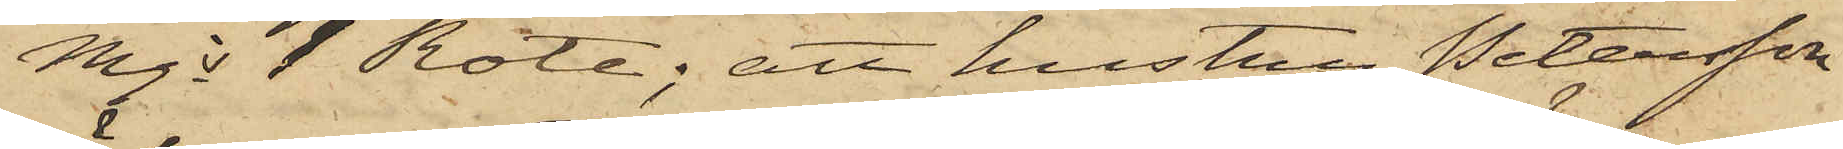Mjs 1 Rote; att hustru Petersson
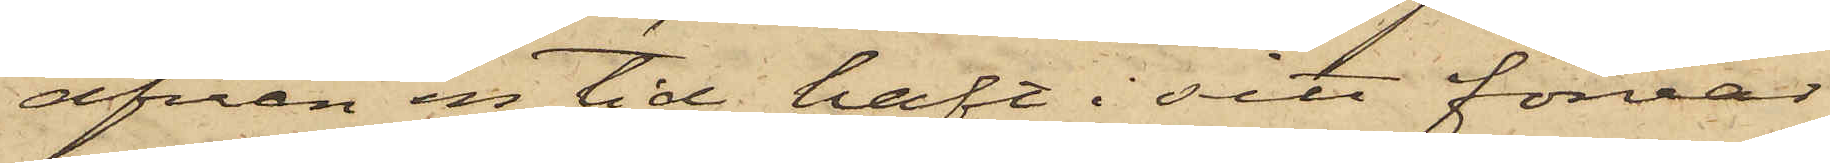äfven en tid haft i sitt förvar
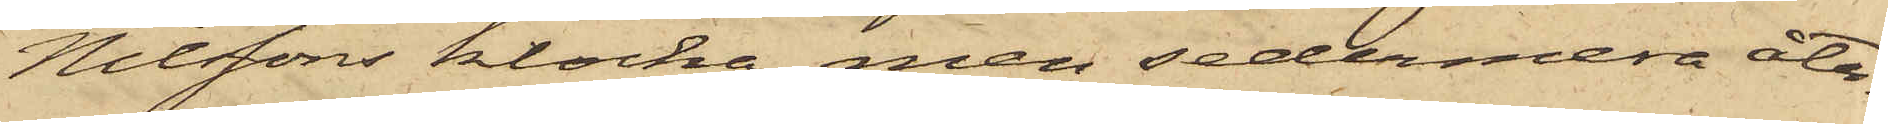Nilssons klocka, men sedermera åter¬
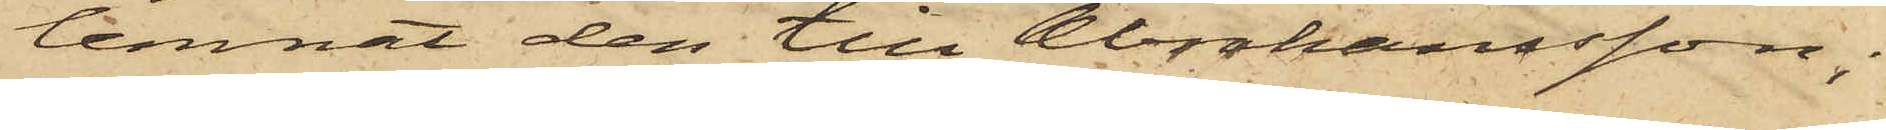lemnat den till Abrahamsson;
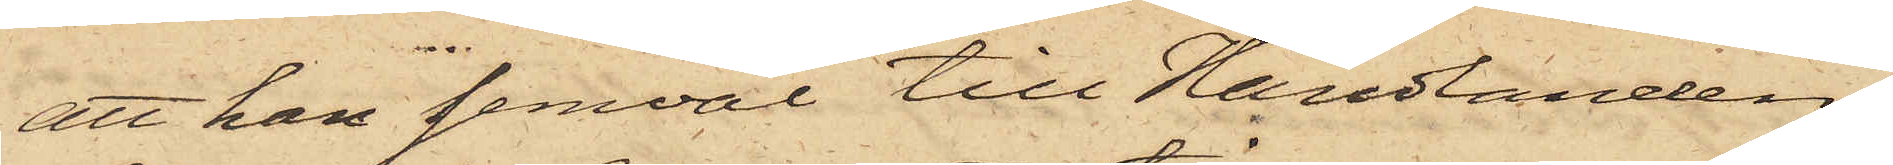att han jemväl till Handlanden
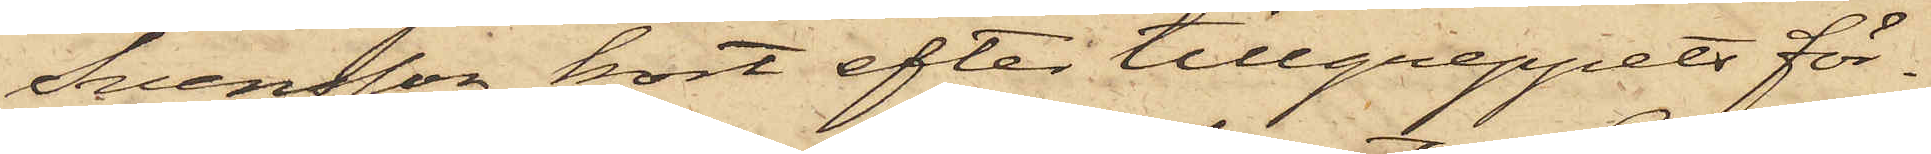Svensson kort efter tillgreppets för¬
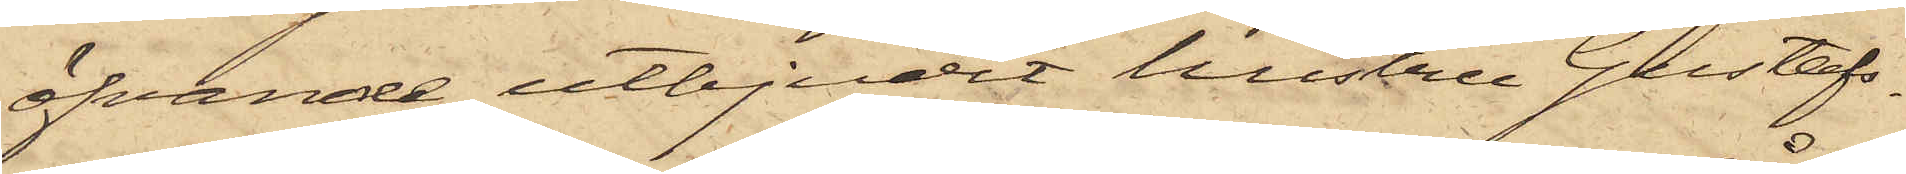öfvande utbjudit hustru Gustafs¬
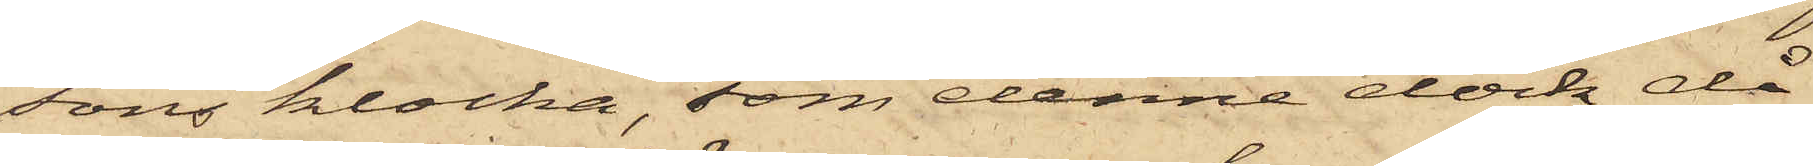sons klocka, som denne dock då
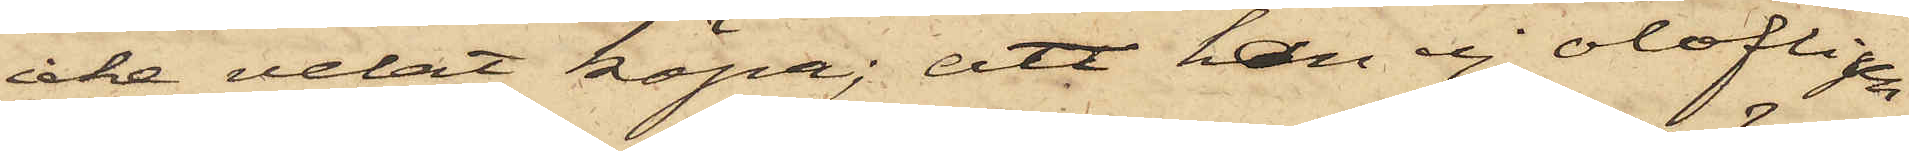icke velat köpa; att han ej olofligen
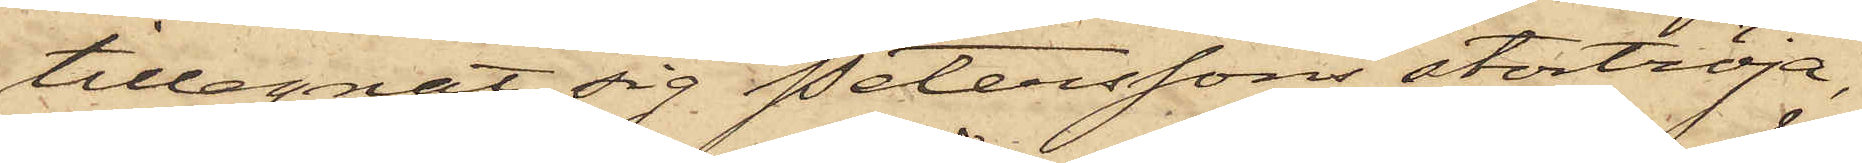tillegnat sig Peterssons stortröja,
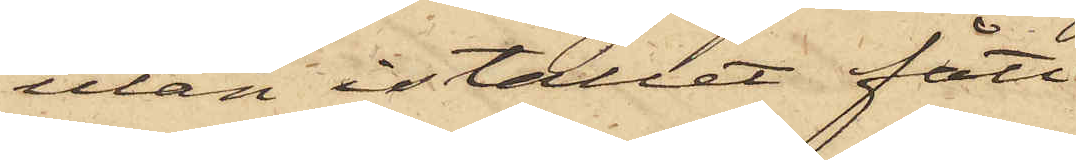utan istället fått
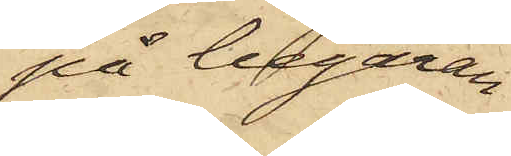på begäran
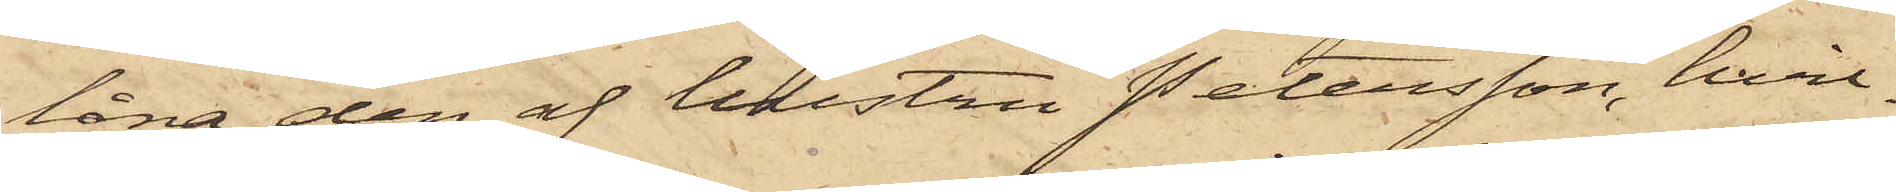låna den af hustru Petersson, hvil¬
